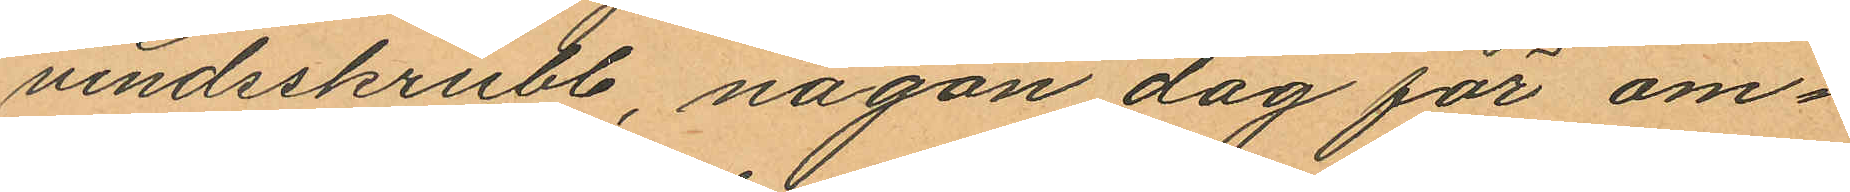vindsskrubb, nagon dag för om¬
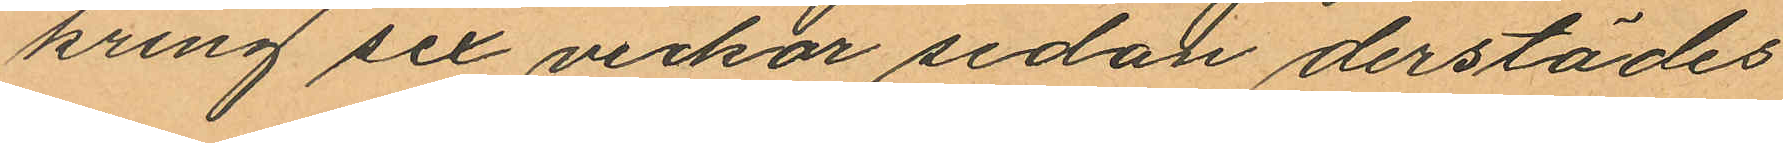kring sex veckor sedan derstädes
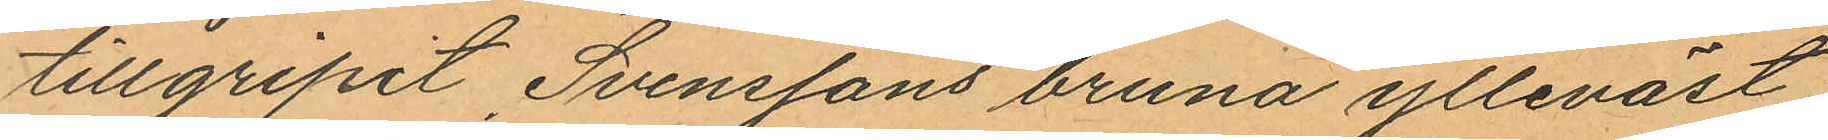tillgripit Svenssons bruna ylleväst
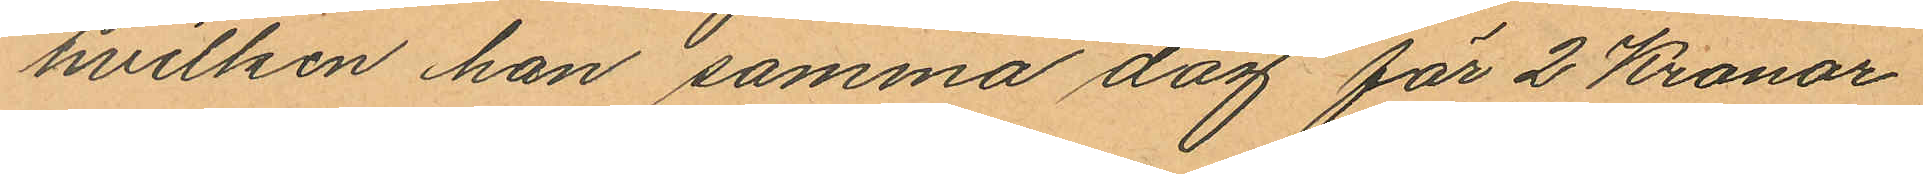hvilken han samma dag för 2 Kronor
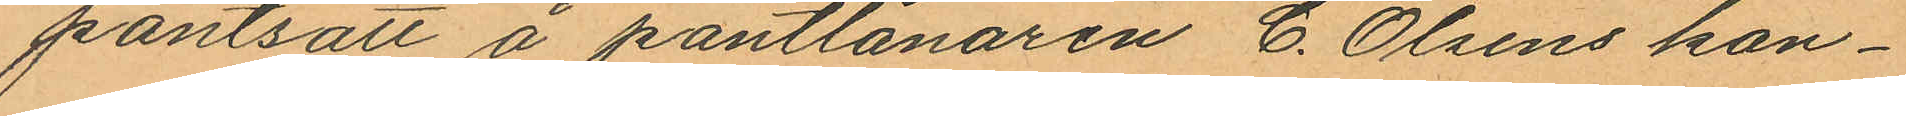pantsatt å pantlånaren C. Olsens kon¬
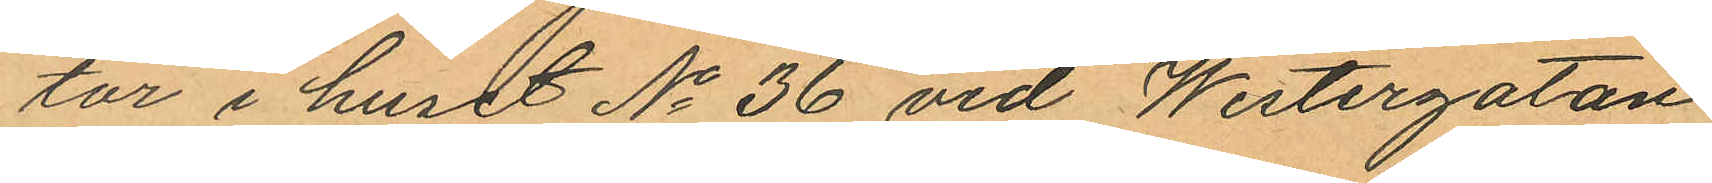tar i huset No 36 vid Westergatan;
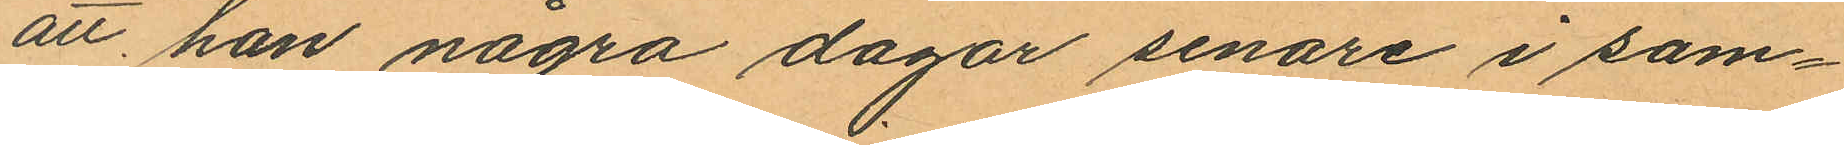att han några dagar senare i sam¬
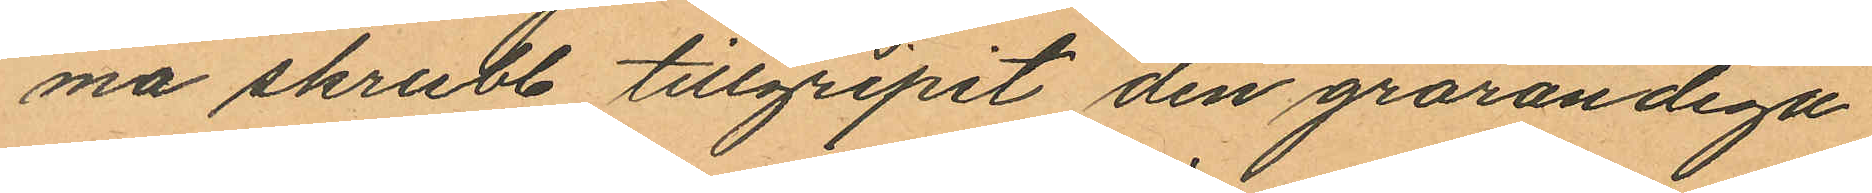ma skrubb tillgripit den grårandiga
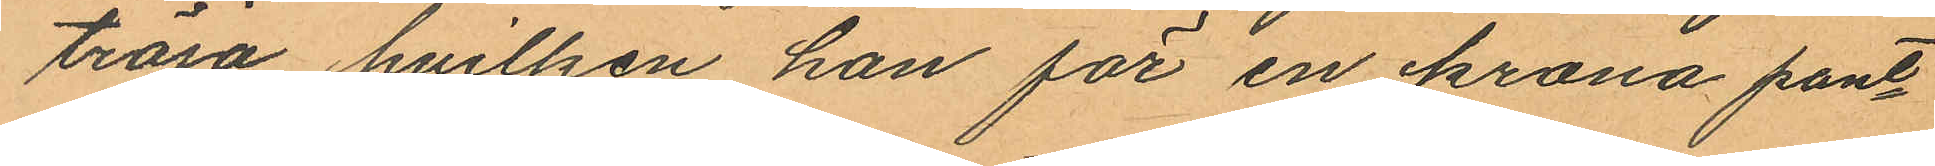tröja hvilken han för en krona pant¬
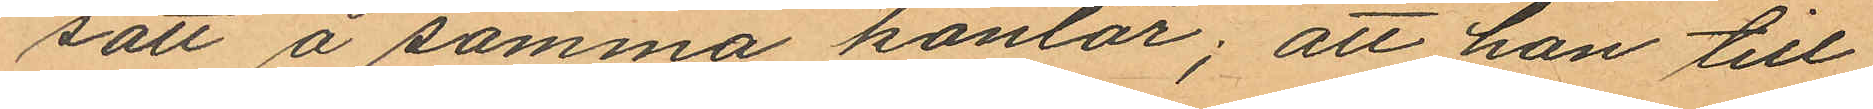satt å samma kontor; att han till
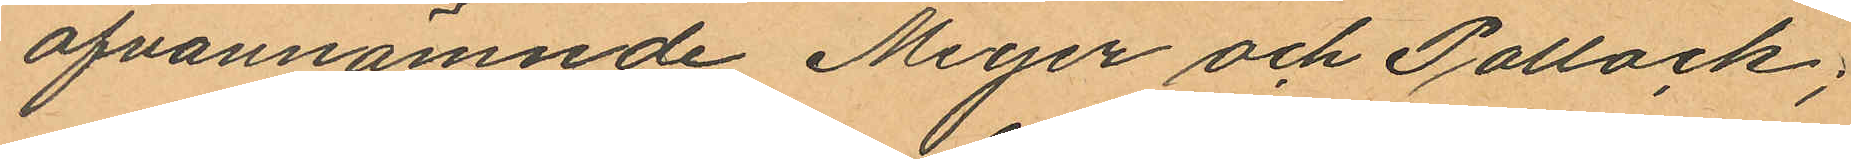ofvannämnde Meyer och Pollack;
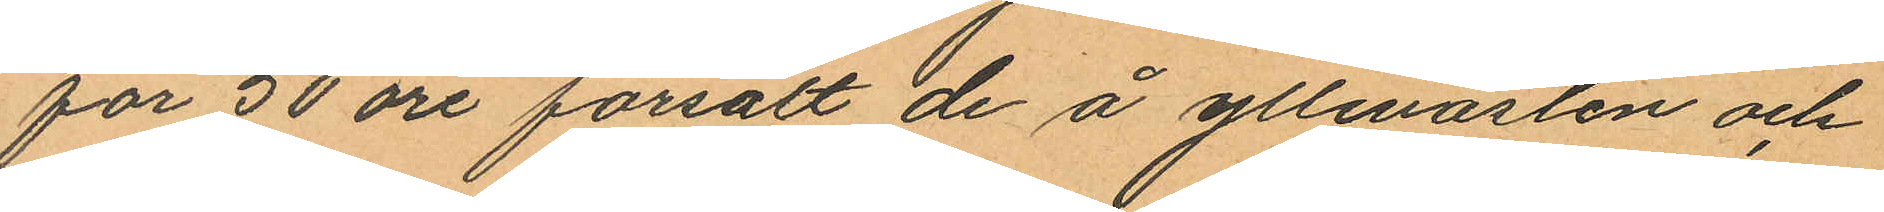för 50 öre forsålt de å yllevästen och
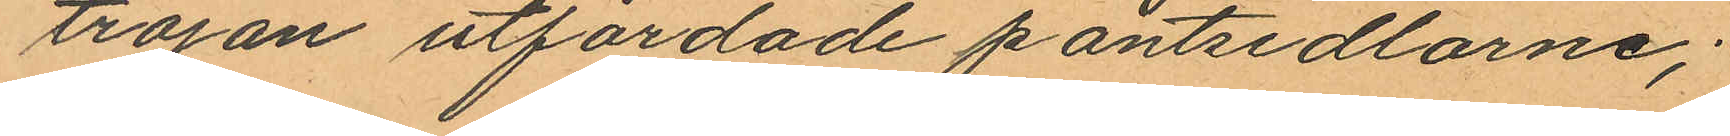tröjan utfärdade pantsedlarne;
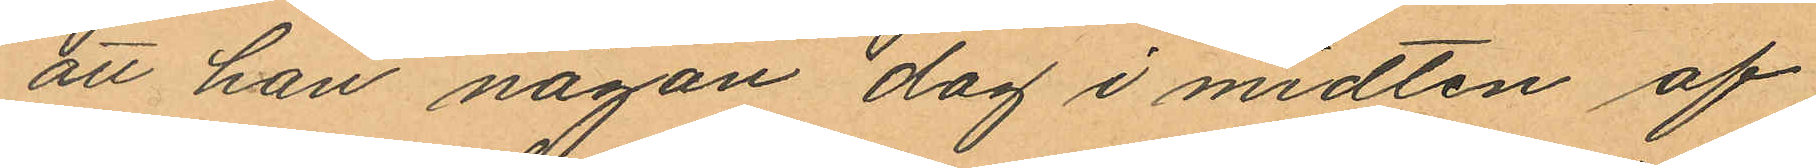att han någon dag i midten af
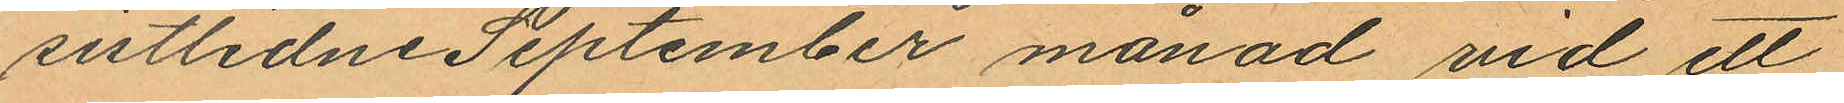sistlidne September månad vid ett
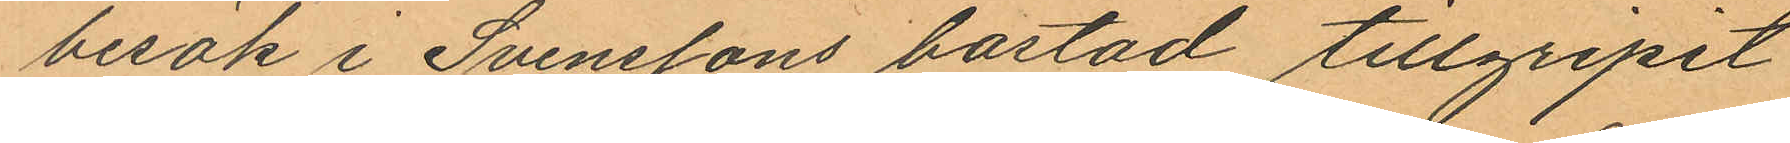besök i Svenssons bostad tillgripit
